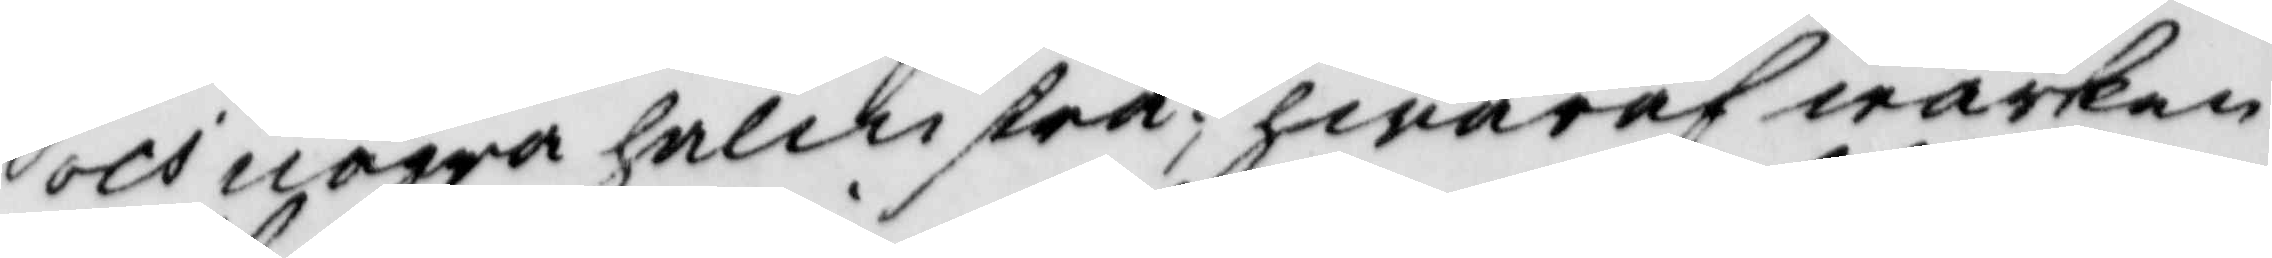och några halmstrå; hwaraf wärken
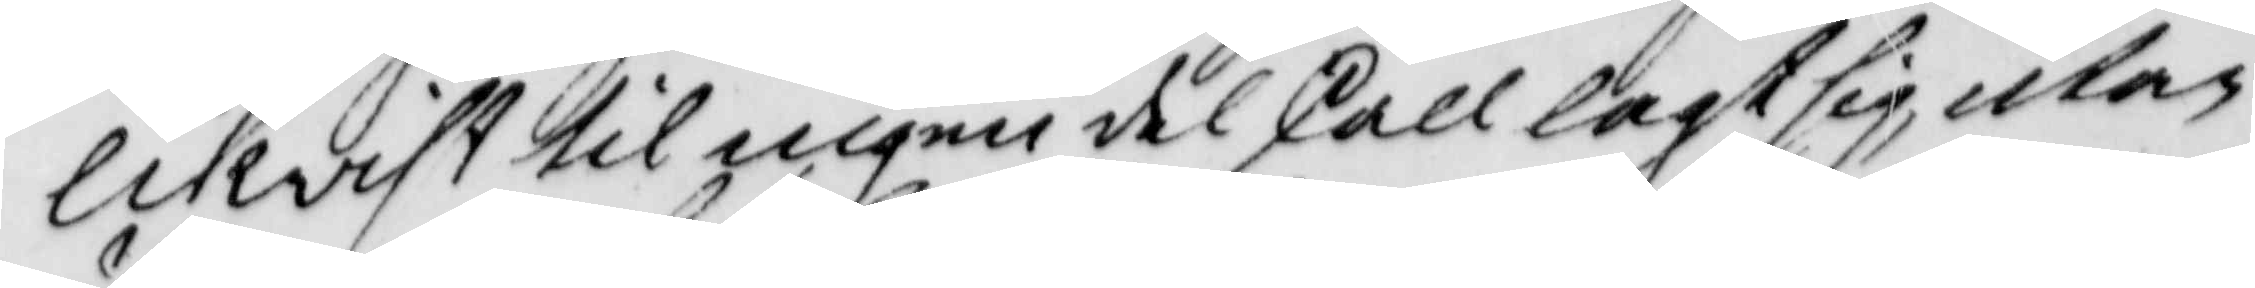likwist til ingen del skall lagt sig, utan
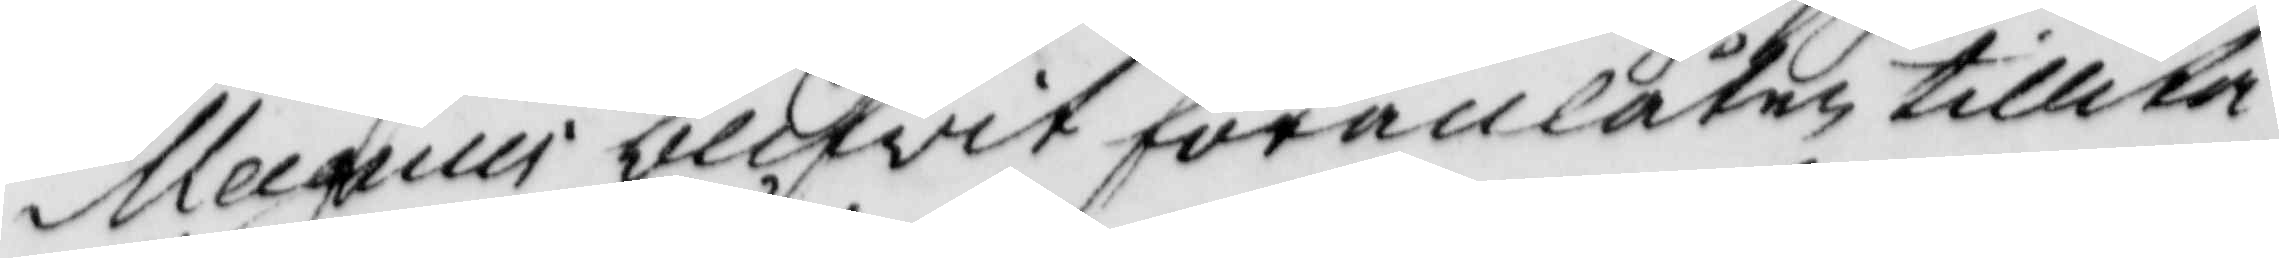Magnus blifwit föranlåten tillika
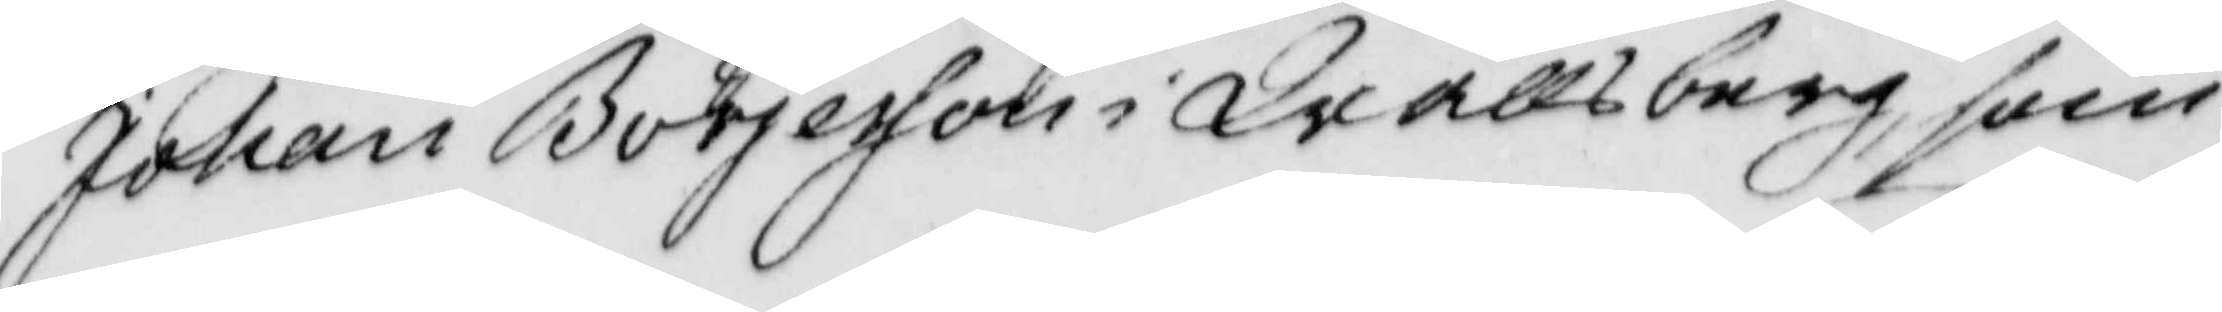Johan Börjesson i Wallsberg, som
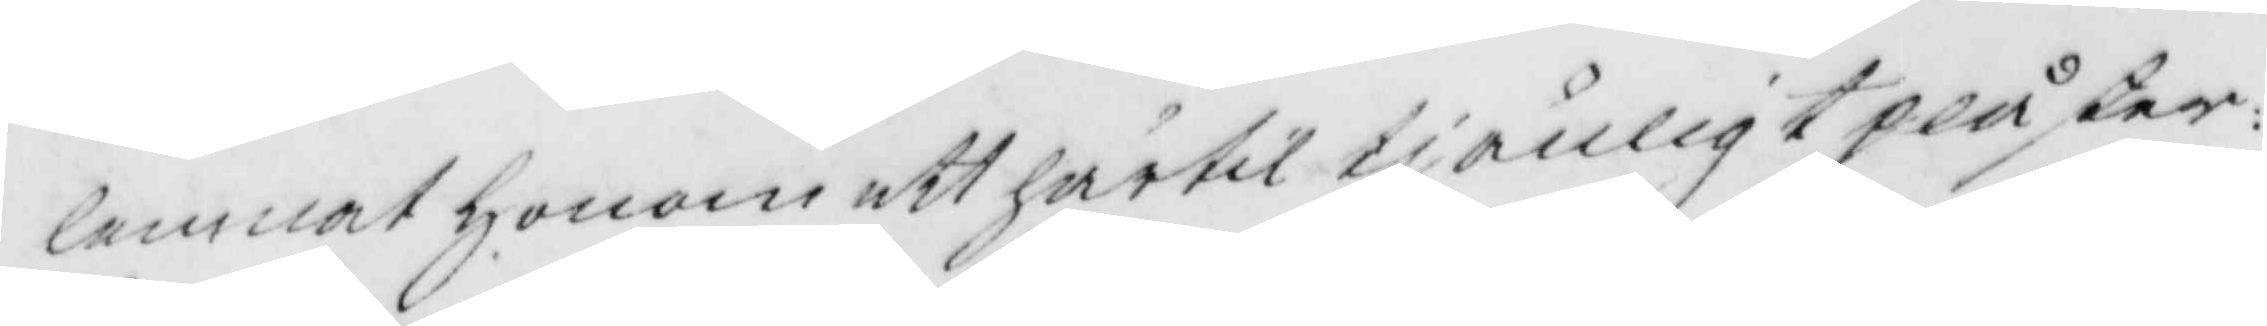lemnat honom ett härtil tjänligt plåster
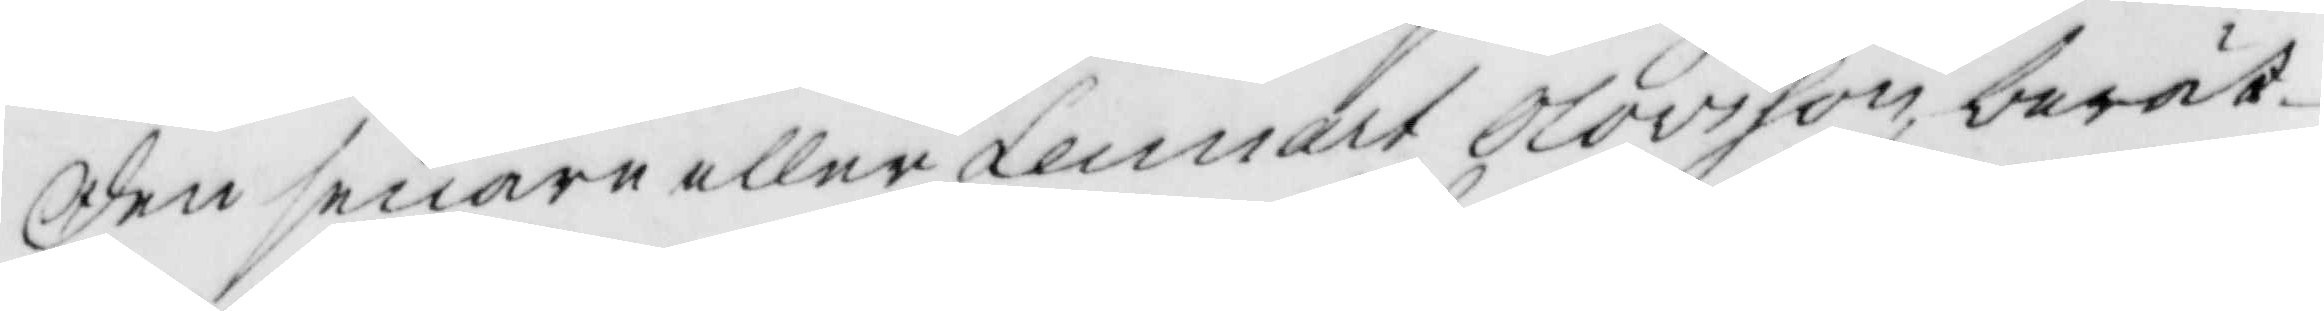den senare eller Lennart Olovsson, berät¬
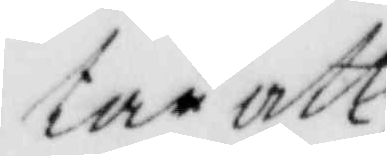tar att
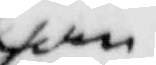han
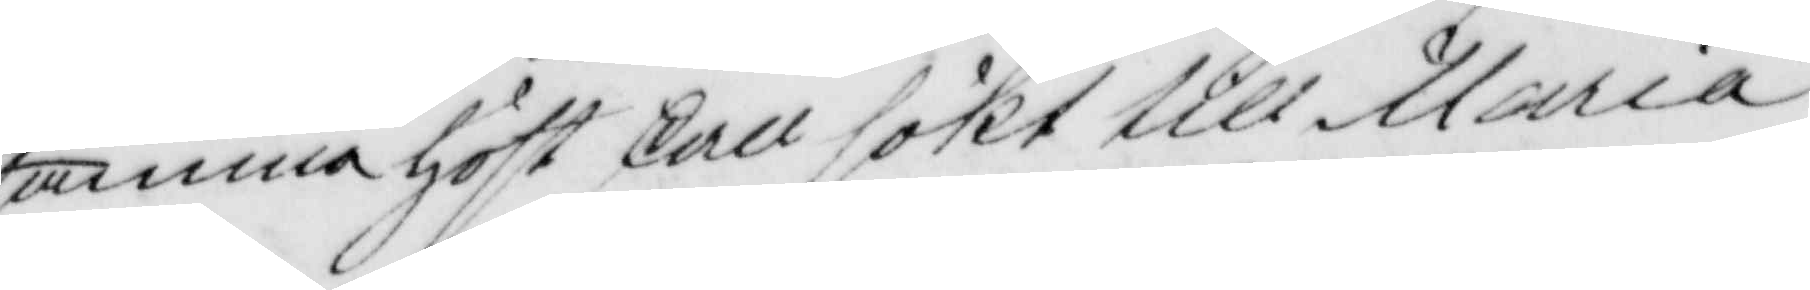samma höst skall sökt till Maria
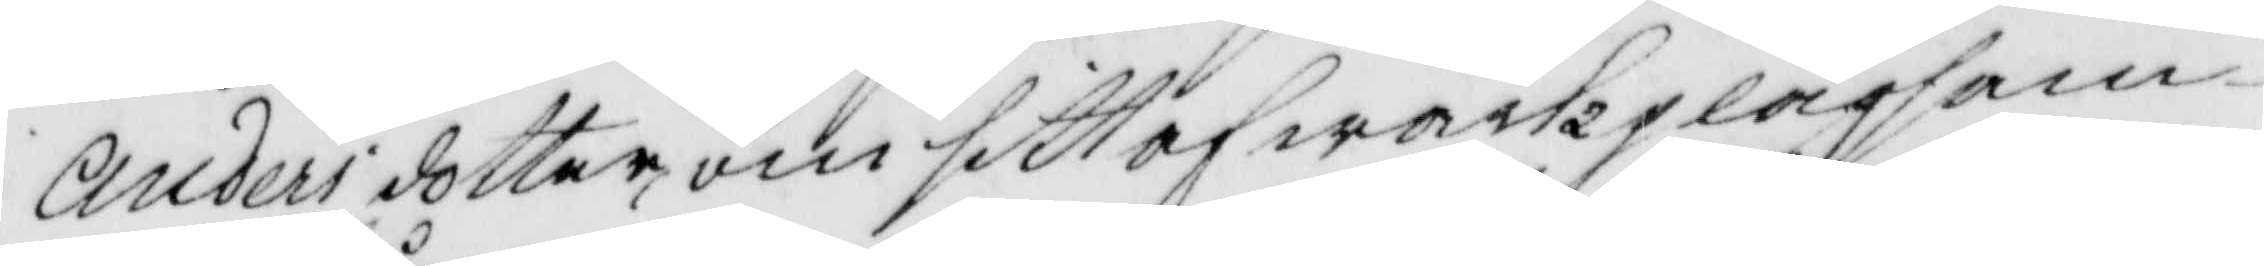Andersdotter, om sitt af wärk plågsam¬
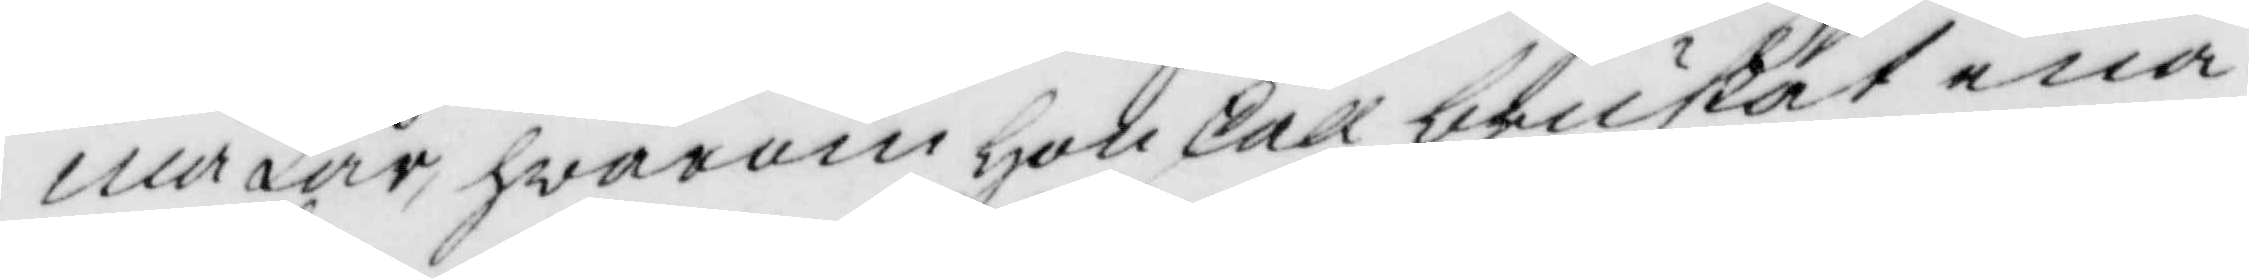ma Lår, hwarom hon skall brukat ena¬
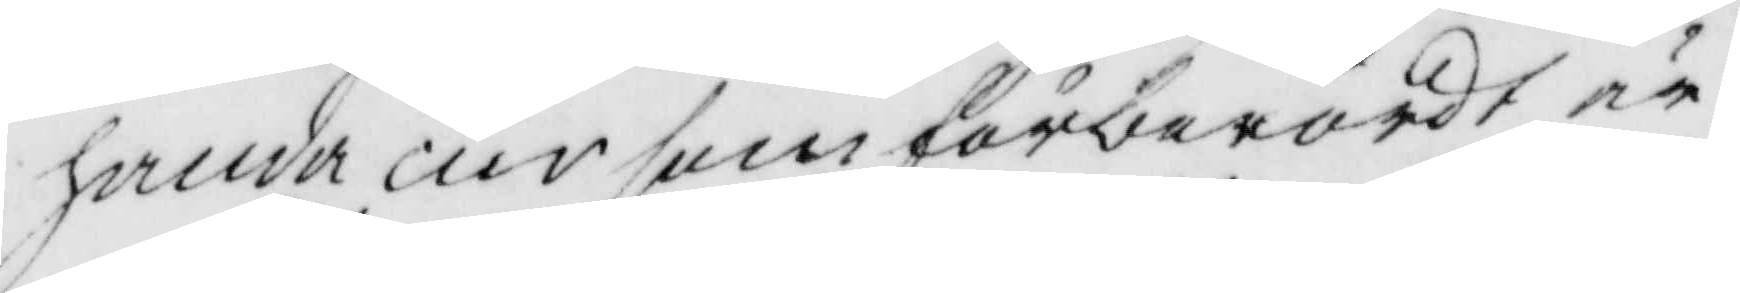handa cur som förberördt är.
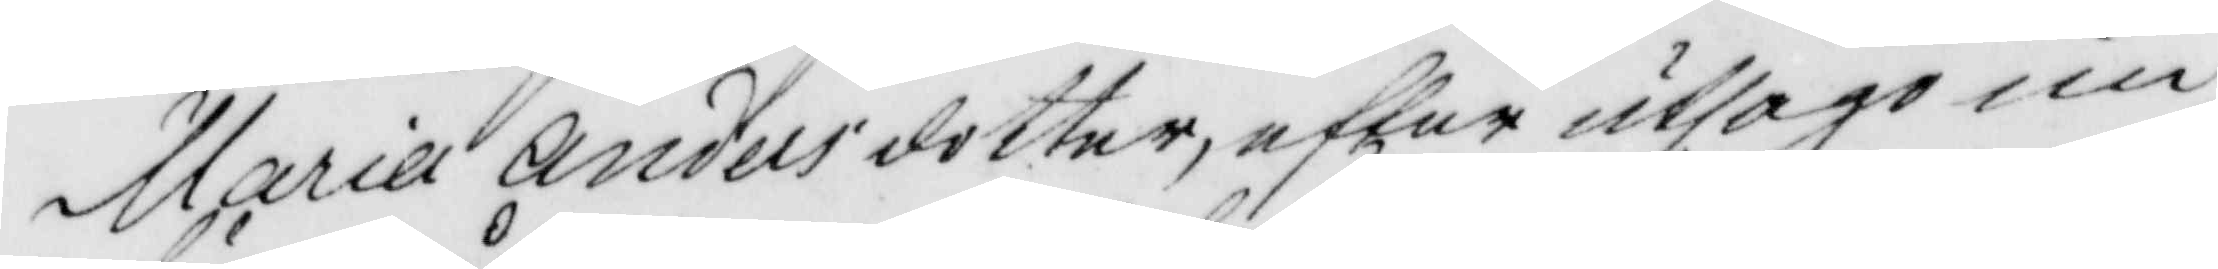Maria Andersdotter, efter utsago un¬
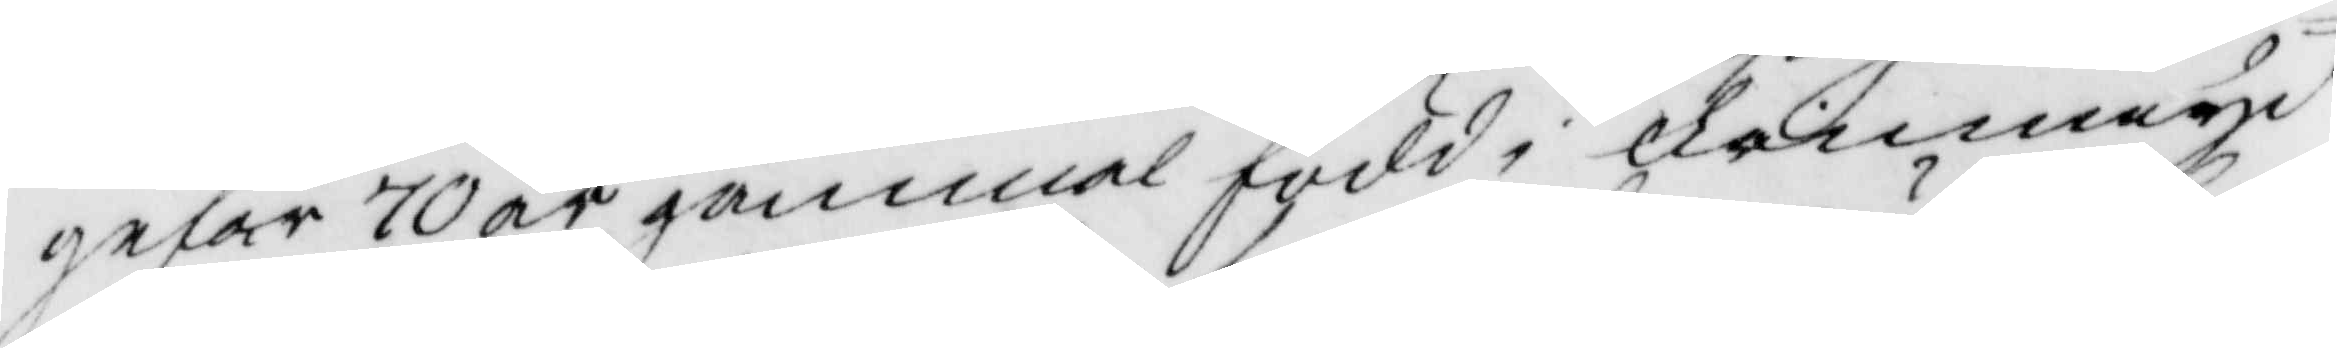gefär 70 år gammal född i finnaryd
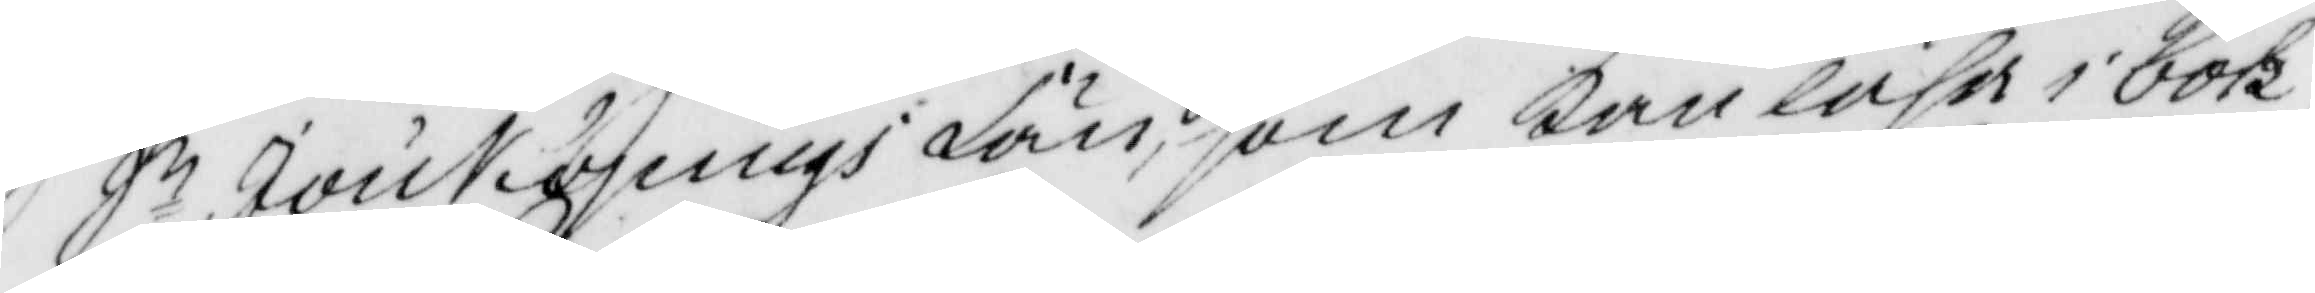I Jönkiöpings Län, som kan läsa i bok,
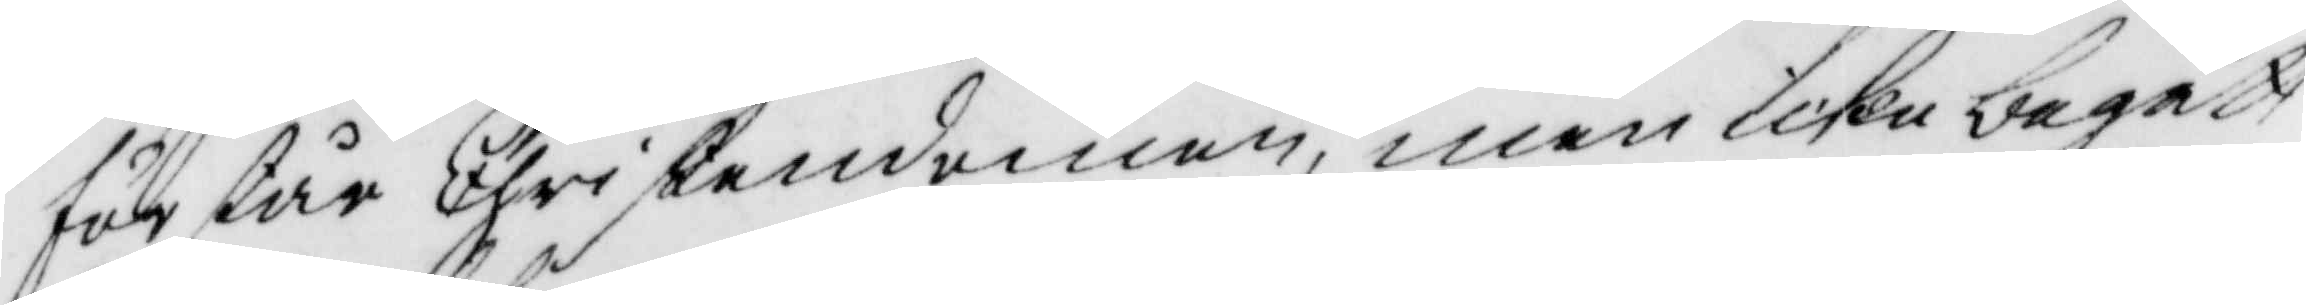förstår Christendomen, men icke begått
